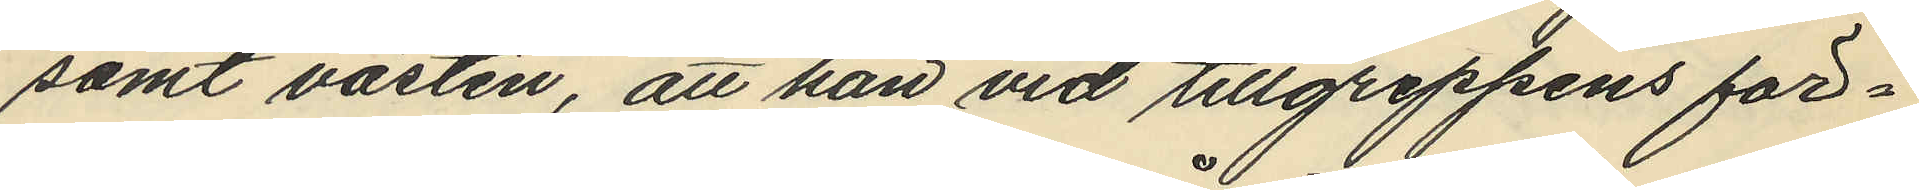samt västen, att han vid tillgreppens för¬
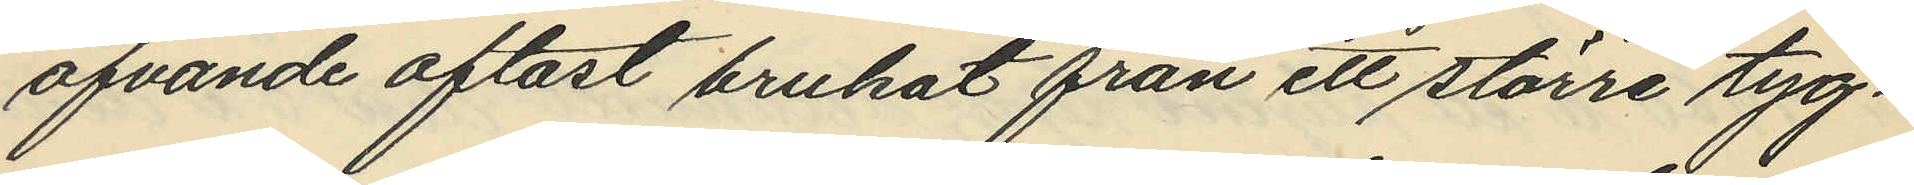öfvande oftast brukat från ett större tyg¬
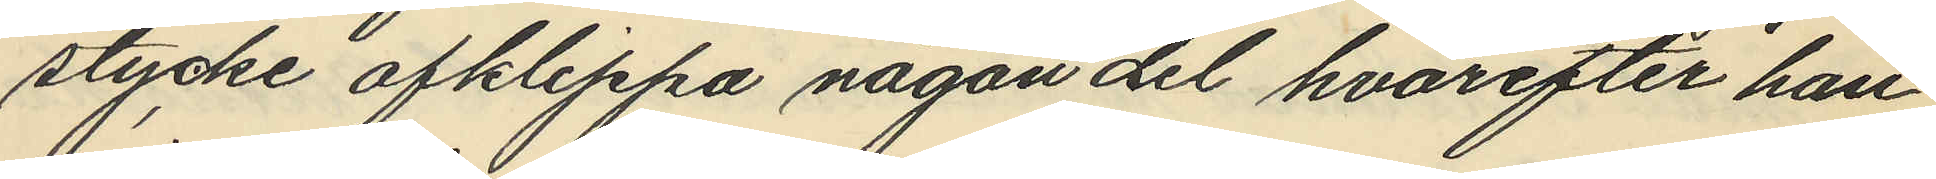stycke afklippa någon del, hvarefter han
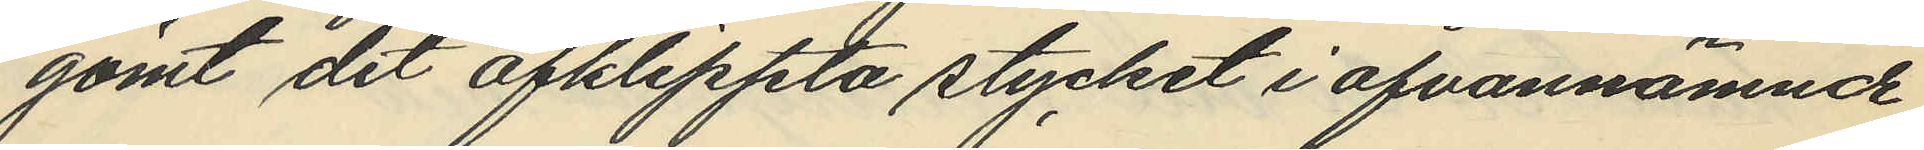gömt det afklippta stycket i ofvannämnde
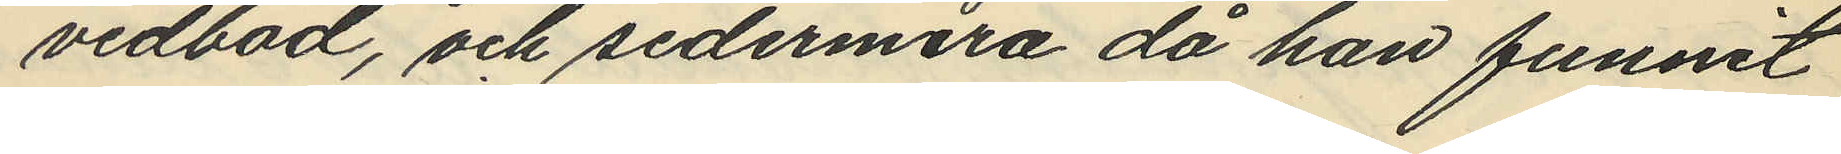vedbod, och sedermera då han funnit
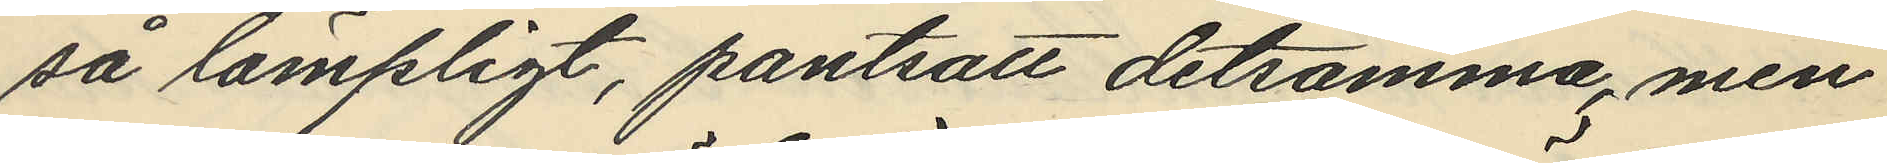så lämpligt, pantsatt detsamma, men
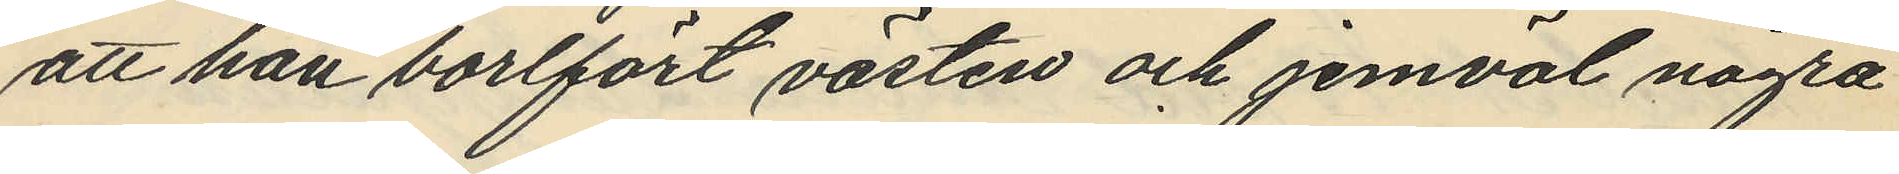att han borlfört västen och jemväl några
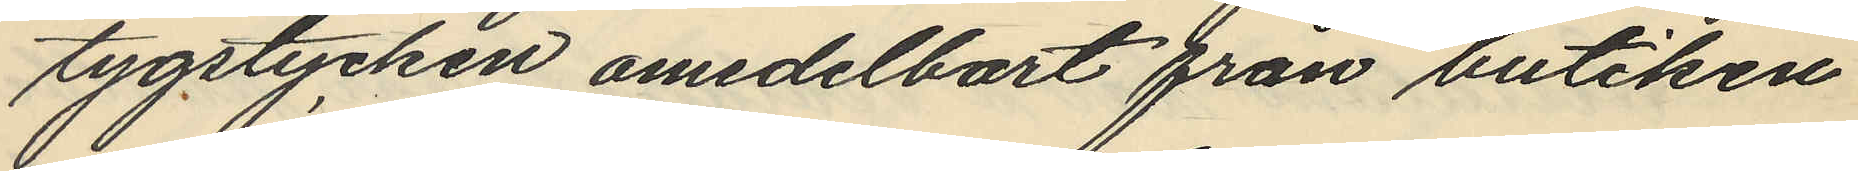tygstycken omedelbart från butiken
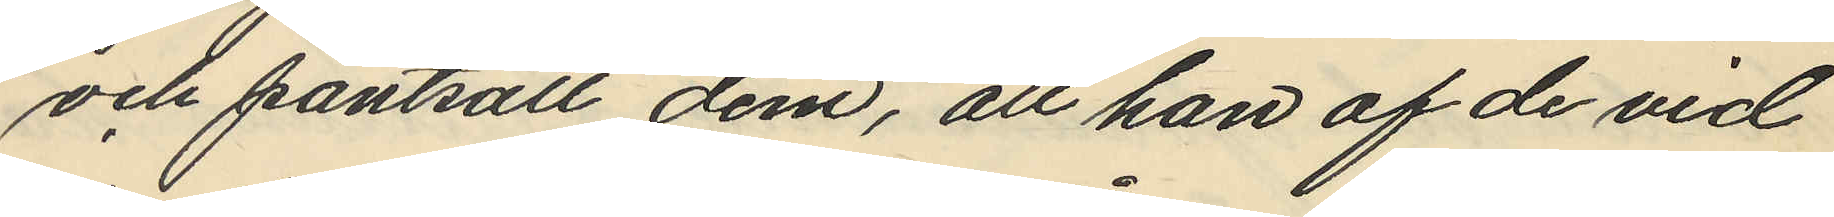och pantsatt dem, att han af de vid
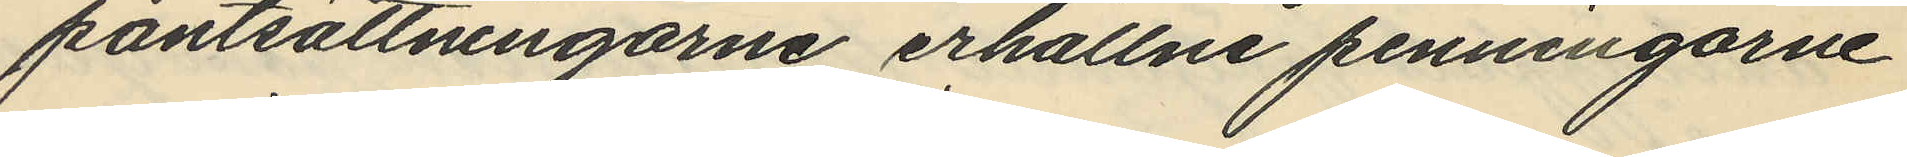pantsättningarne erhållne penningarne
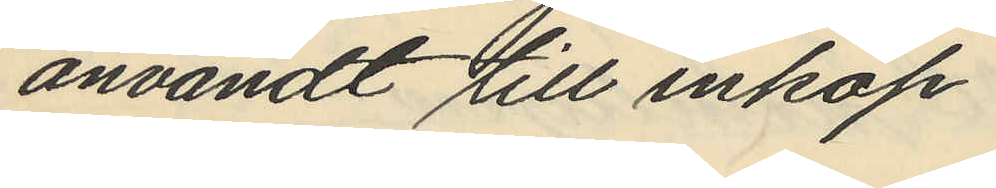användt till inköp
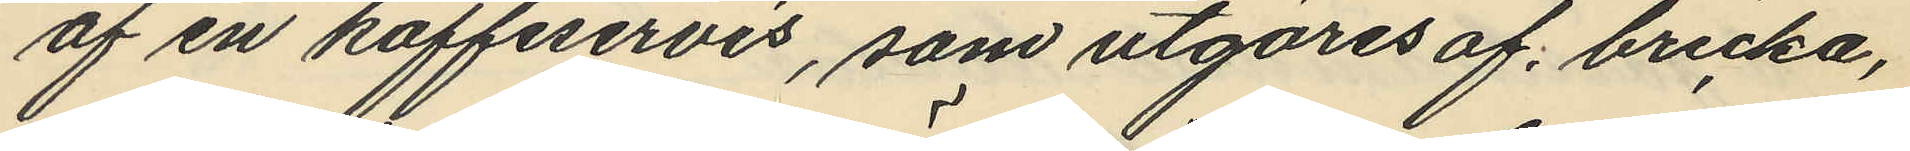af en kaffeservis, som utgöres af bricka,
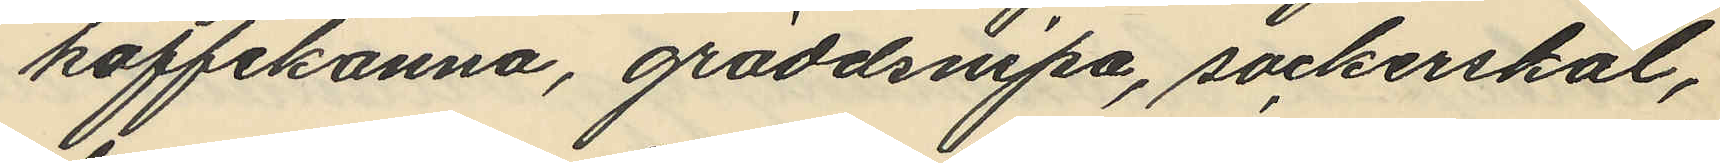kaffekanna, gräddsnipa, sockerskål,
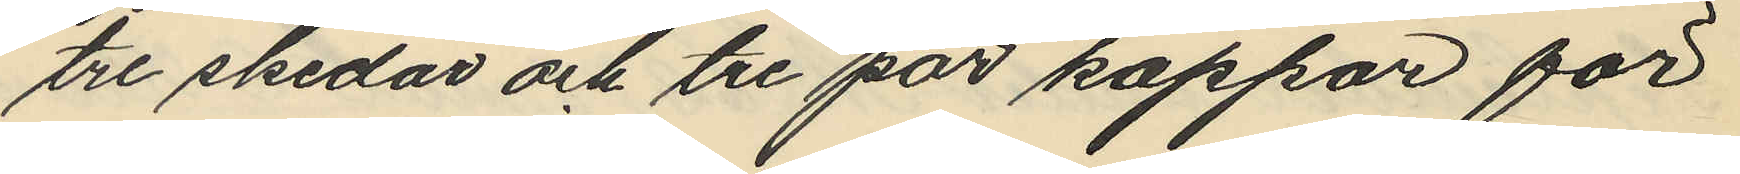tre skedar och tre par koppar för
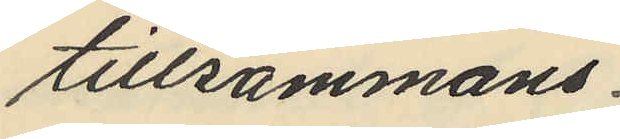tillsammans
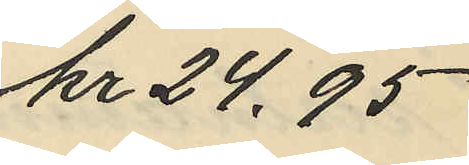kr 24.95
